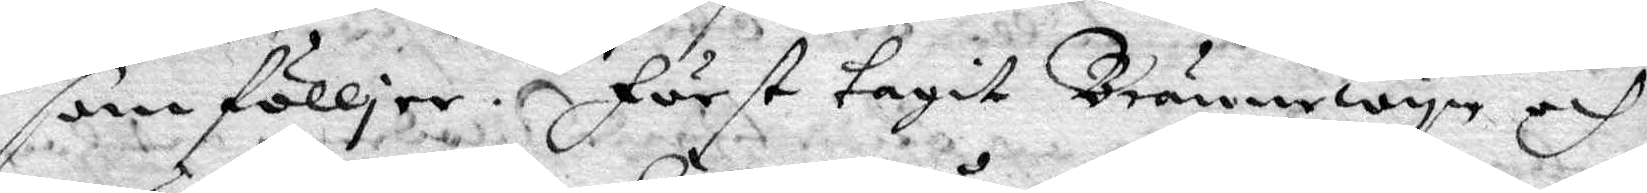som fölljer. Först tagit Brännewyn och
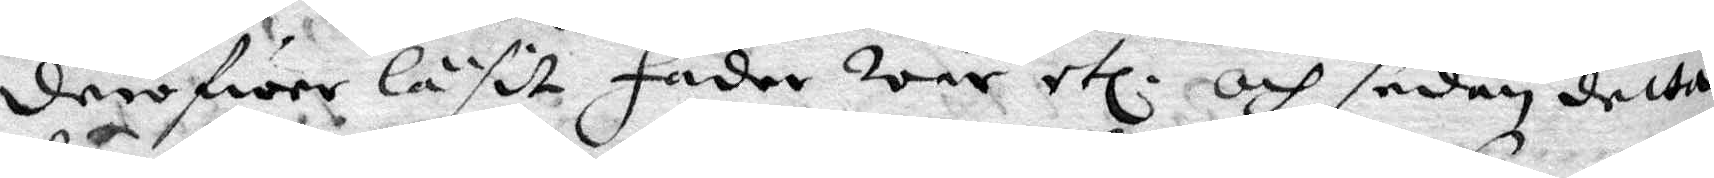deröfwer läsit Fader wår etc. och sedan detta
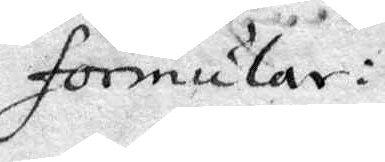Formular:
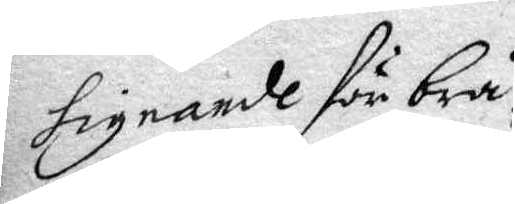signade för brå¬
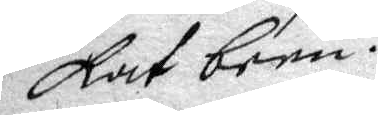kat bem.
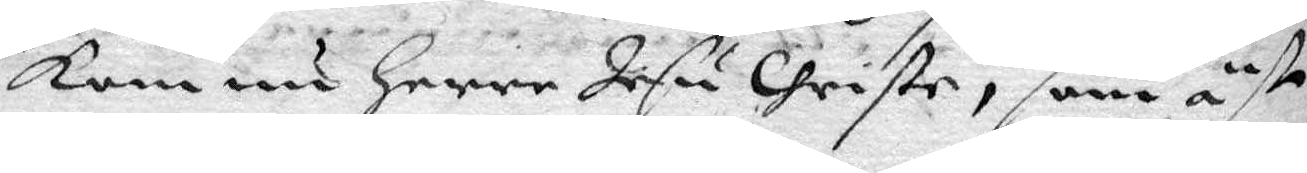kom nu herre Jesu Christe, som äst
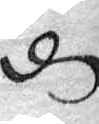d
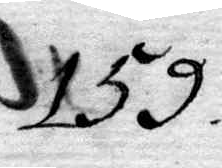159.
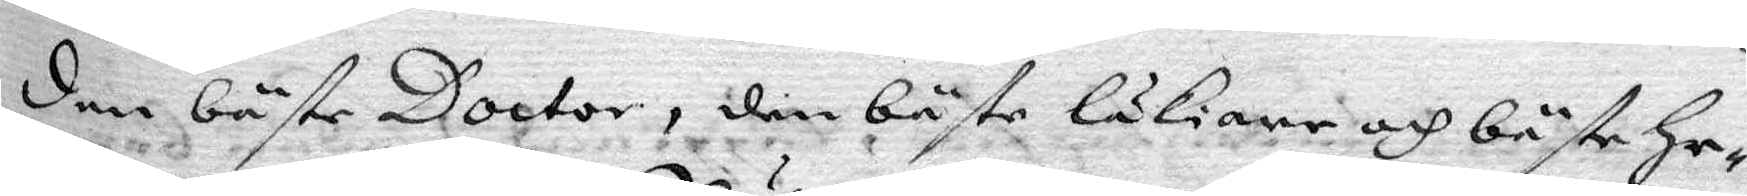den bäste Doctor, den bäste läkiare och bäste he¬
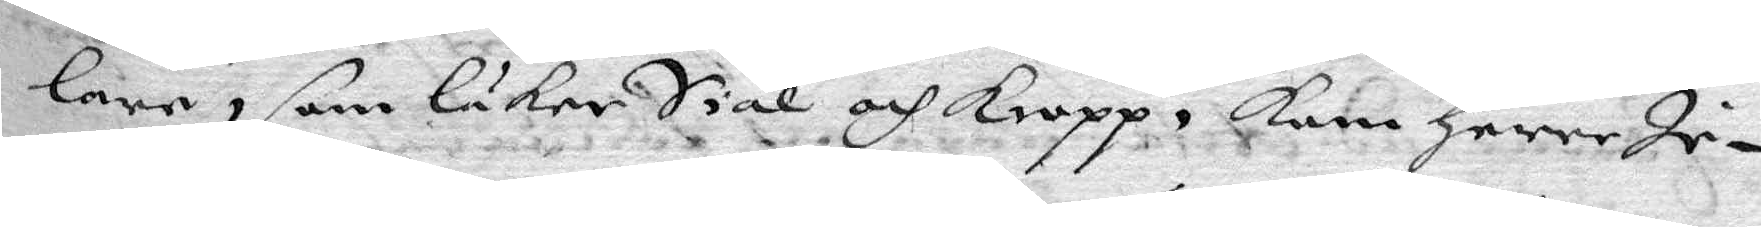lare, som läkerSiäl och kropp, kan herre Je¬
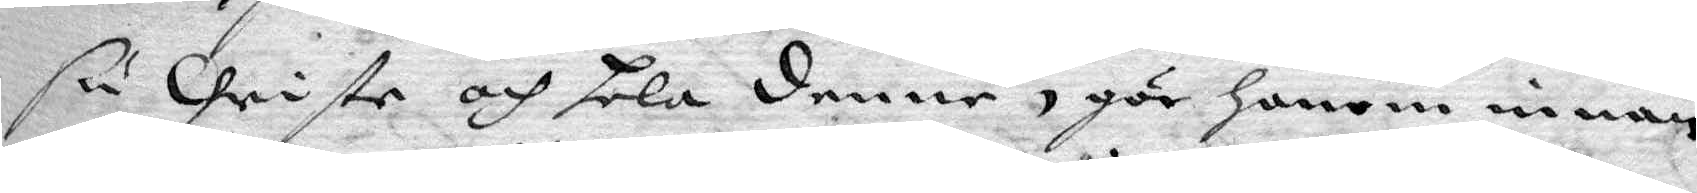su Christe och hela denne, gör honom innan¬
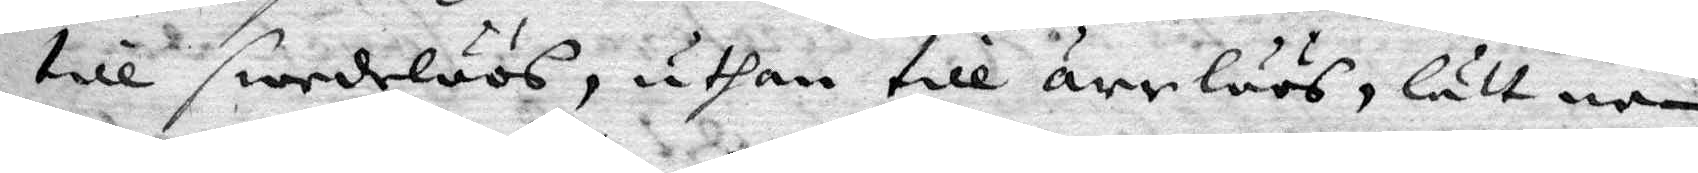till swedelöös, uthan till ärrlöös, lätt ne¬
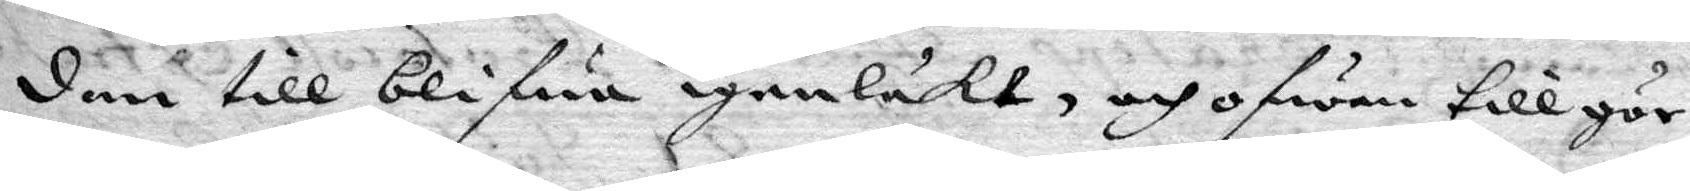dan till blifwa igenläkt, och ofwan till gör
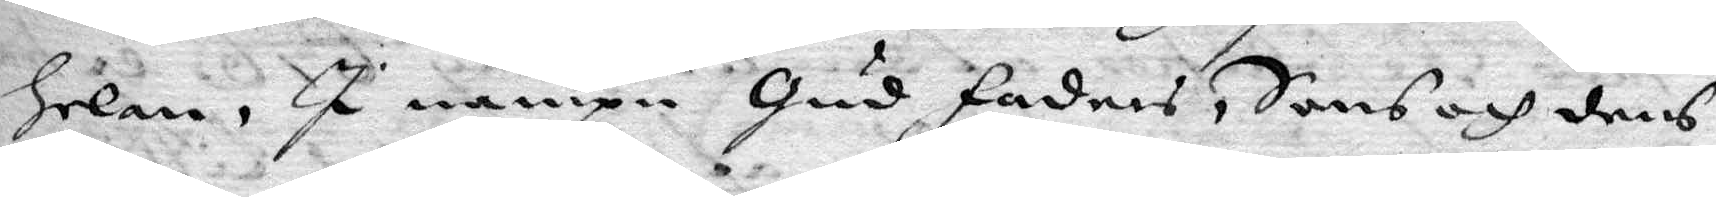helan, I nampn Gud Faders, Sans och dens
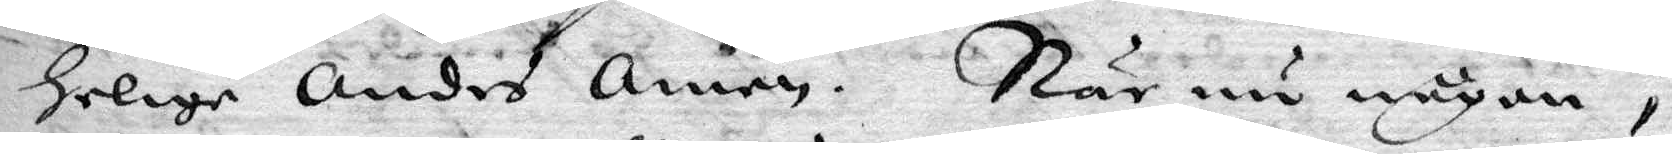Helige Andes Amen. När nu någon,
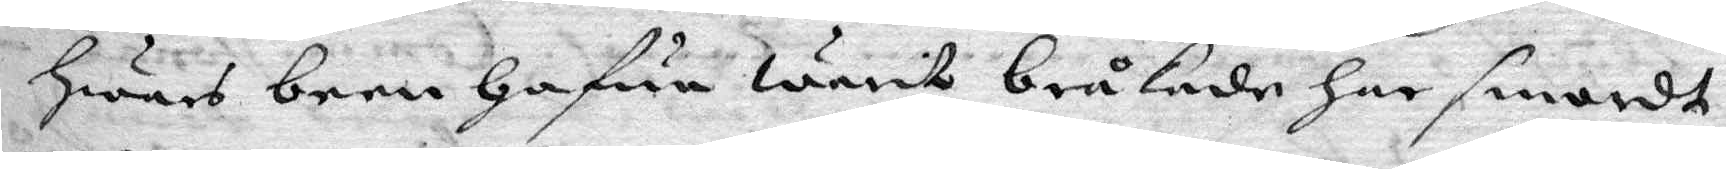hwars been hafwa warit bråkade har smordt
